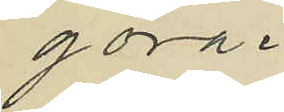göra.
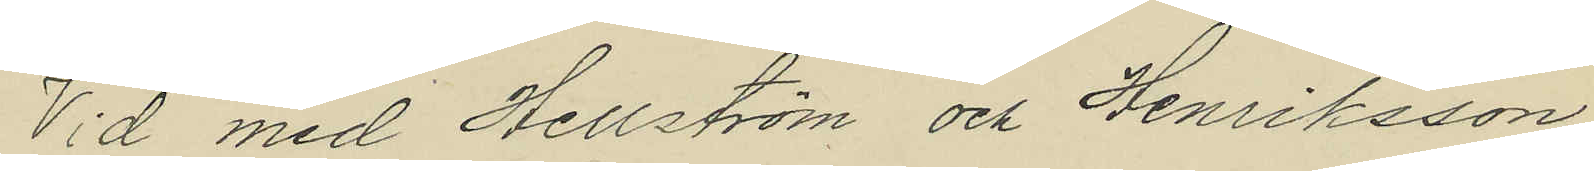Vid med Hellström och Henriksson
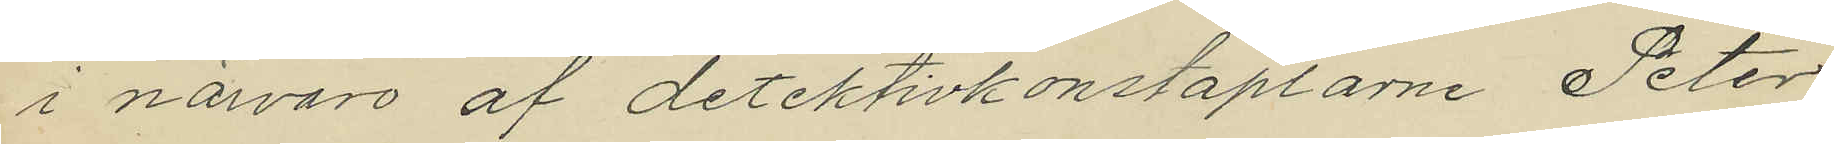i närvaro af detektivkonstaplarne Peter
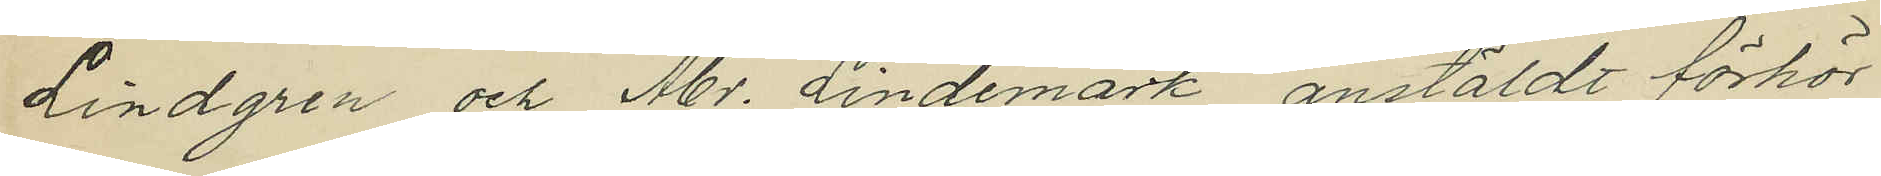Lindgren och Abr. Lindemark anstäldt förhör
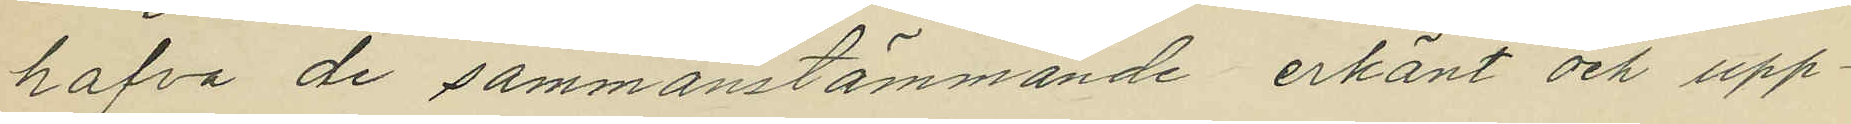hafva de sammanstämmande erkänt och upp¬
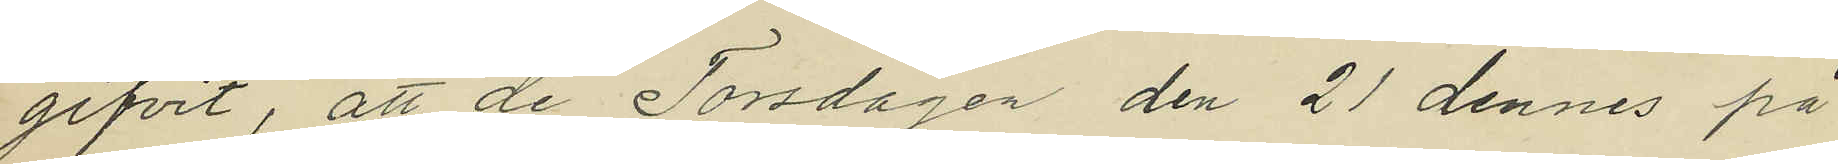gifvit, att de Torsdagen den 21 dennes på
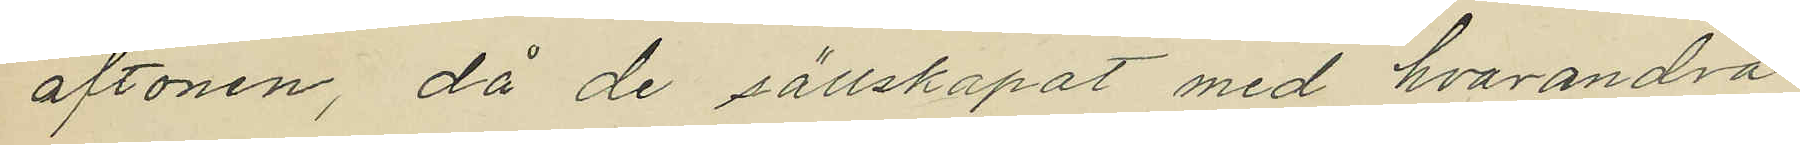aftonen, då de sällskapat med hvarandra
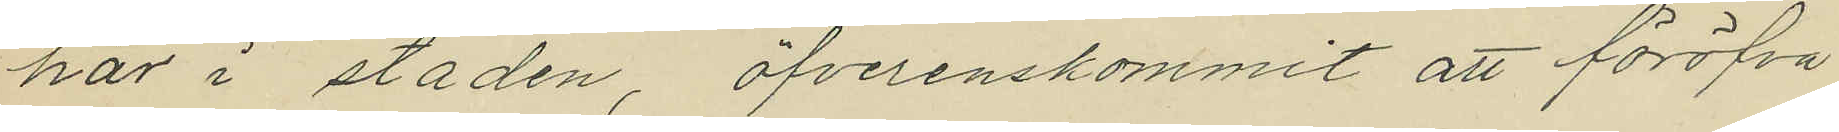här i staden, öfverenskommit att föröfva
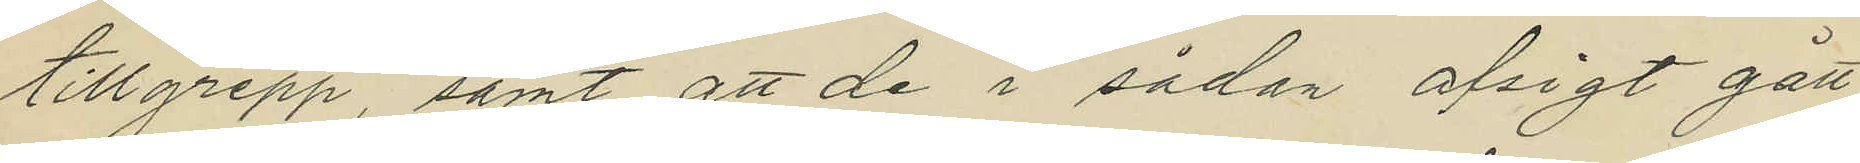tillgrepp, samt att de i sådan afsigt gått
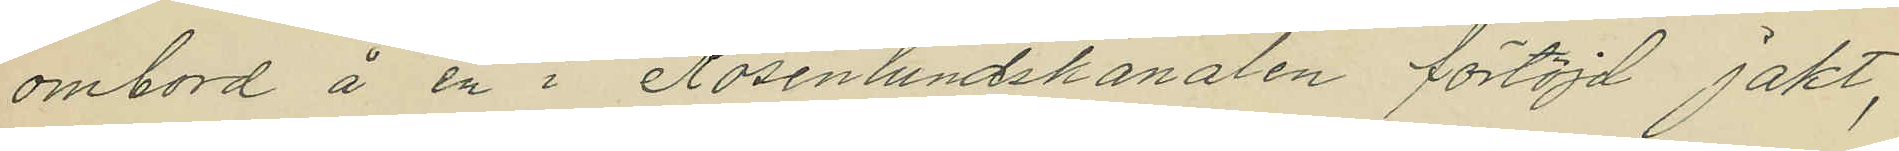ombord å en i Rosenlundskanalen förtöjd jakt,
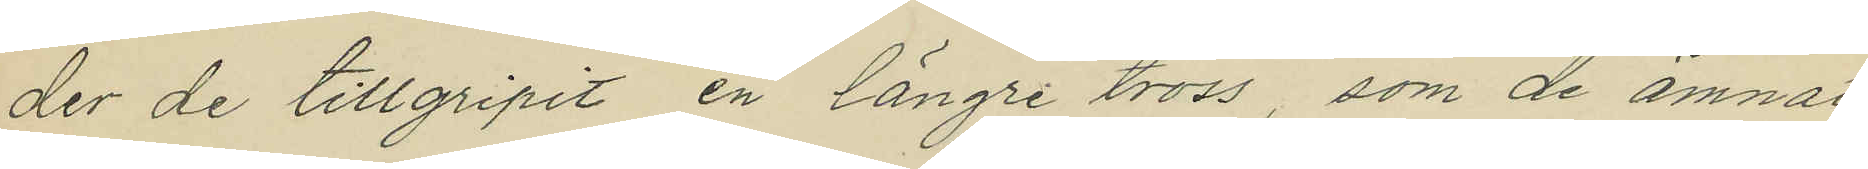der de tillgripit en längre tross, som de ämnat
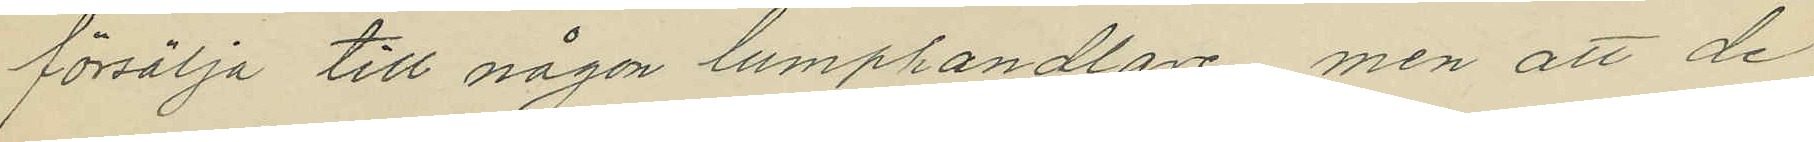försälja till någon lumphandlare, men att de
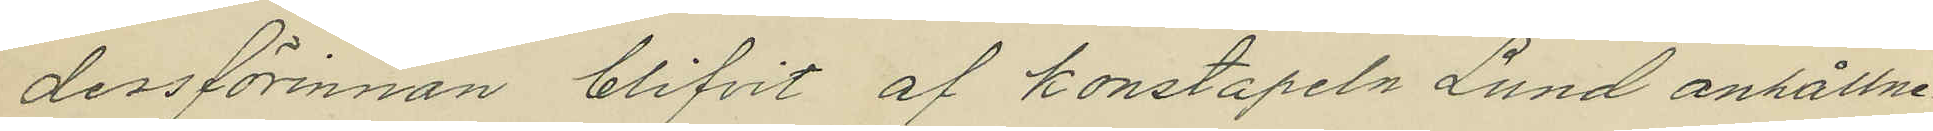dessförinnan blifvit af konstapeln Lund anhållne.
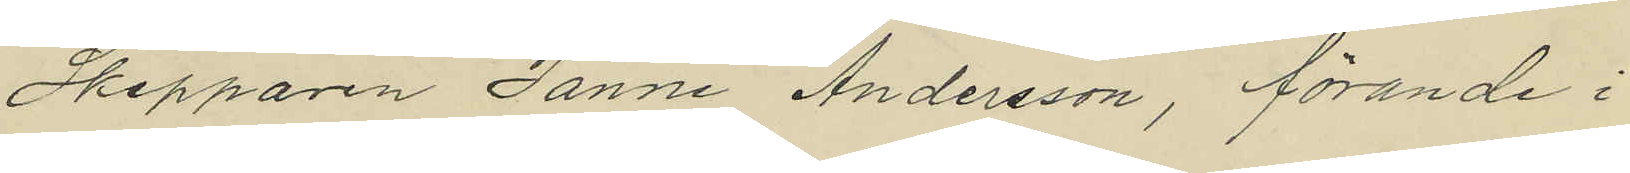Skepparen Janne Andersson, förande i
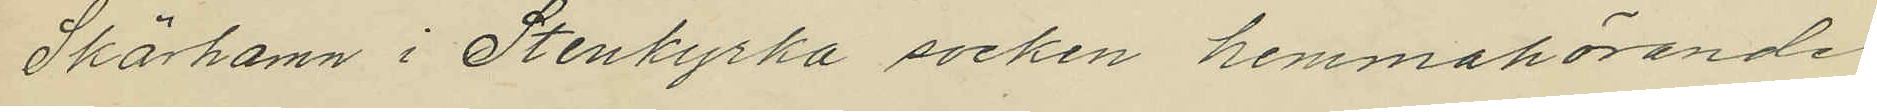Skärhamn i Stenkyrka socken hemmahörande
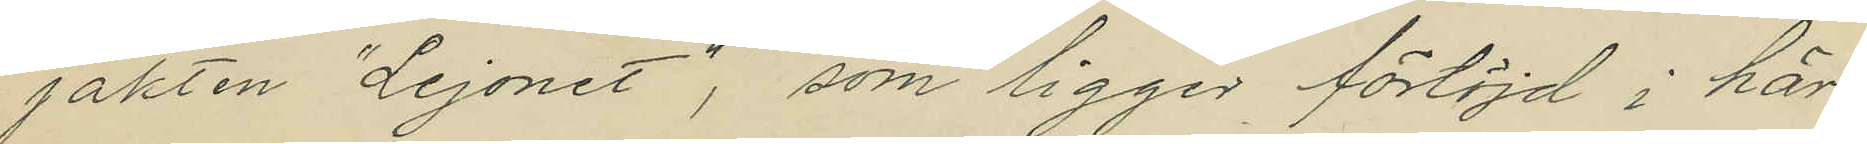jakten "Lejonet", som ligger förtöjd i här¬
